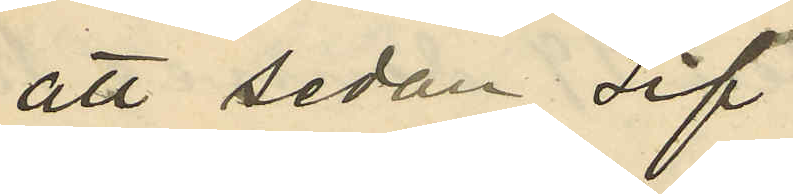att sedan Lif
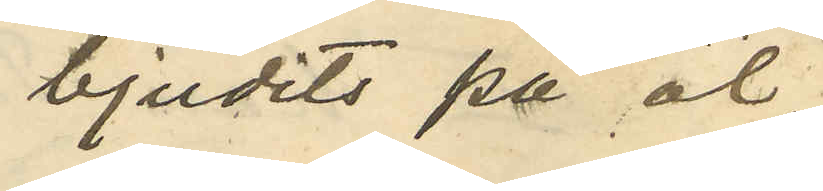bjudits på öl,
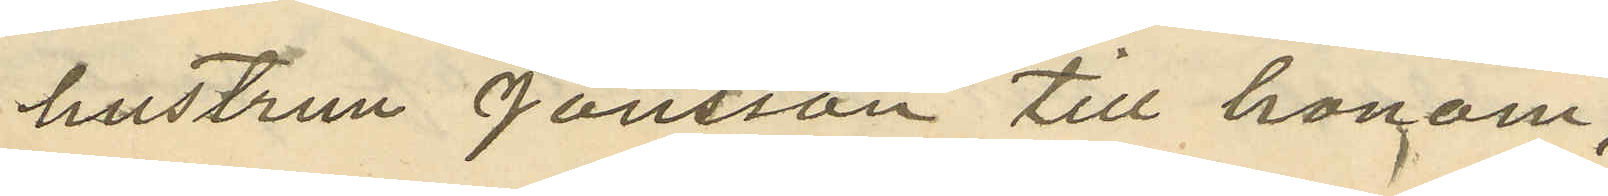hustrun Jönsson till honom
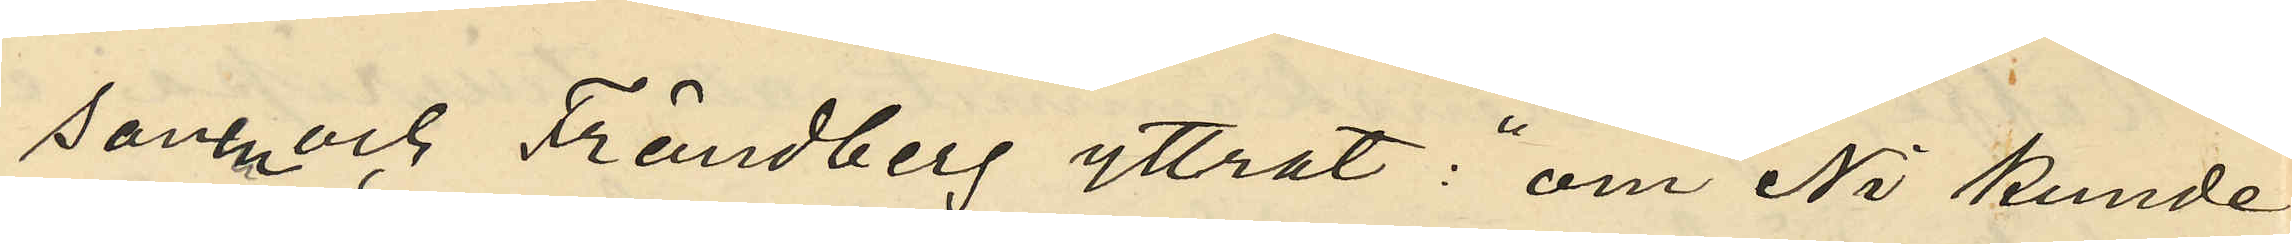sonen och Frändberg yttrat:"om Ni kunde
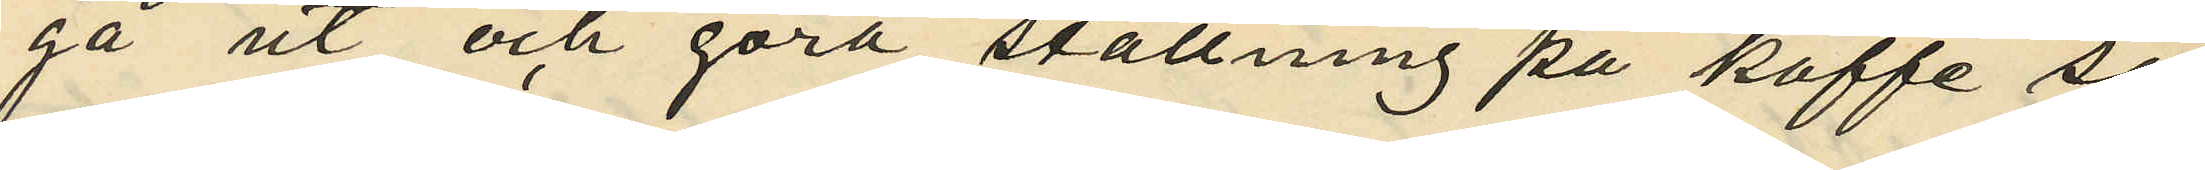gå ut och göra ställning på kaffe så
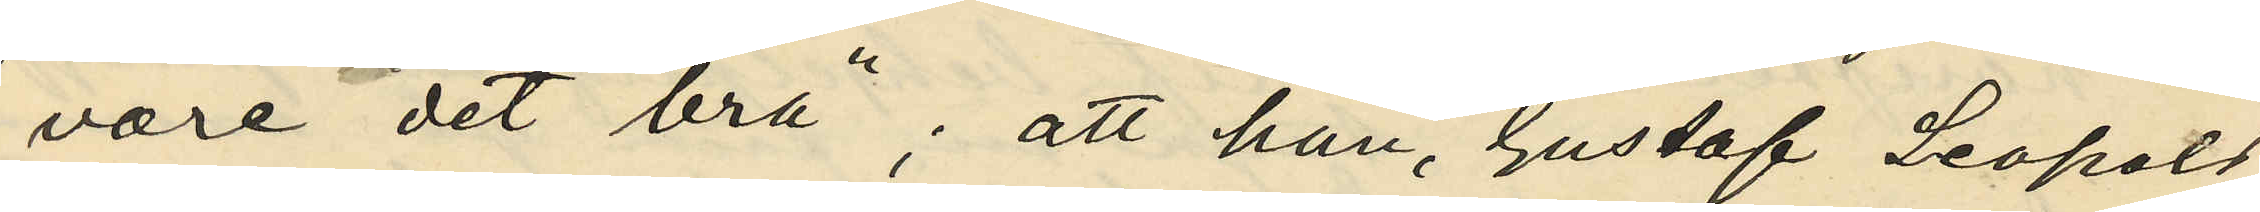vore det bra"; att han, Gustaf Leopold
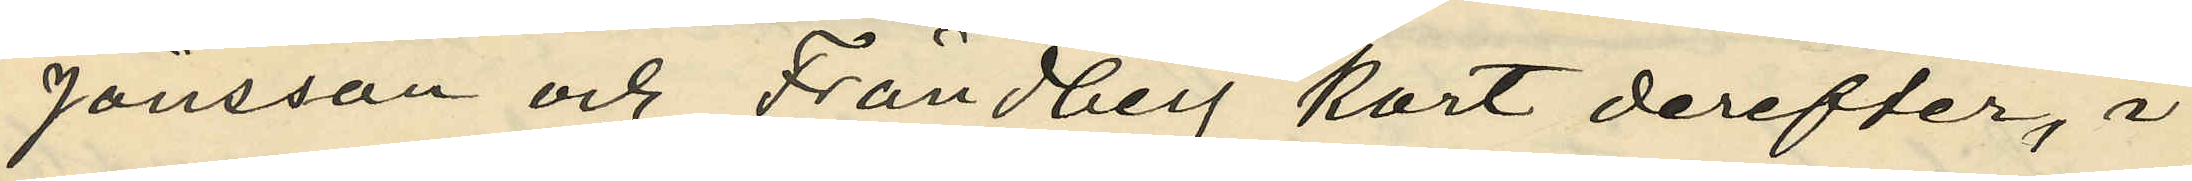Jönsson och Frändberg kort derefter, i
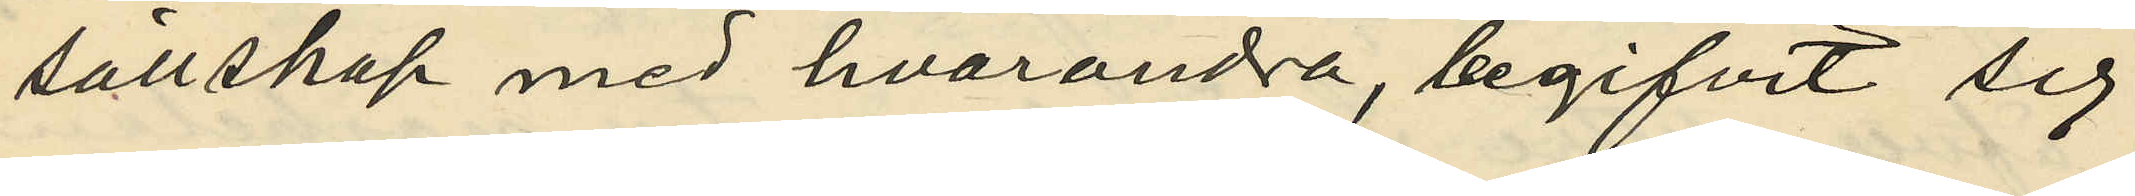sällskap med hvarandra, begifvit sig
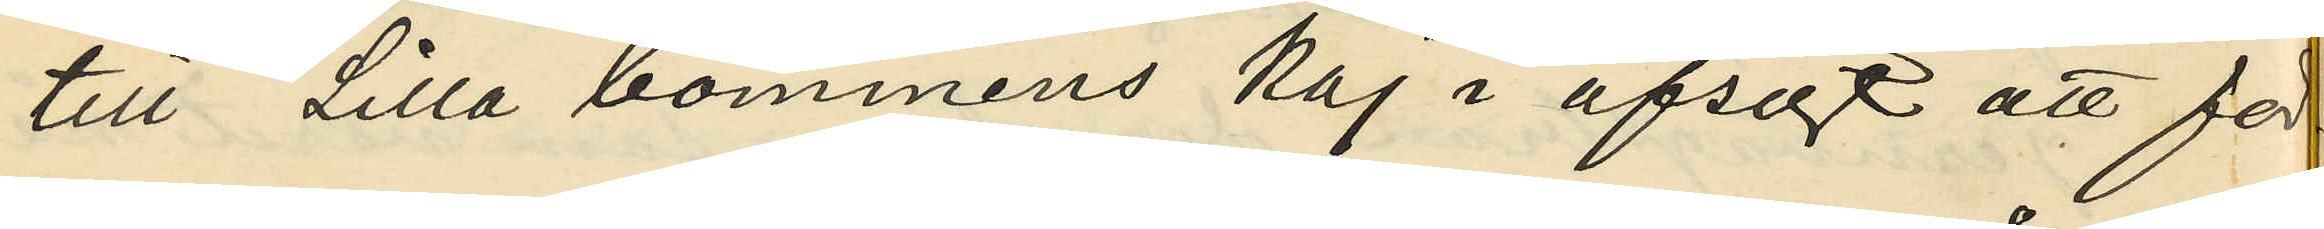till Lilla bommens kaj i afsigt att för¬
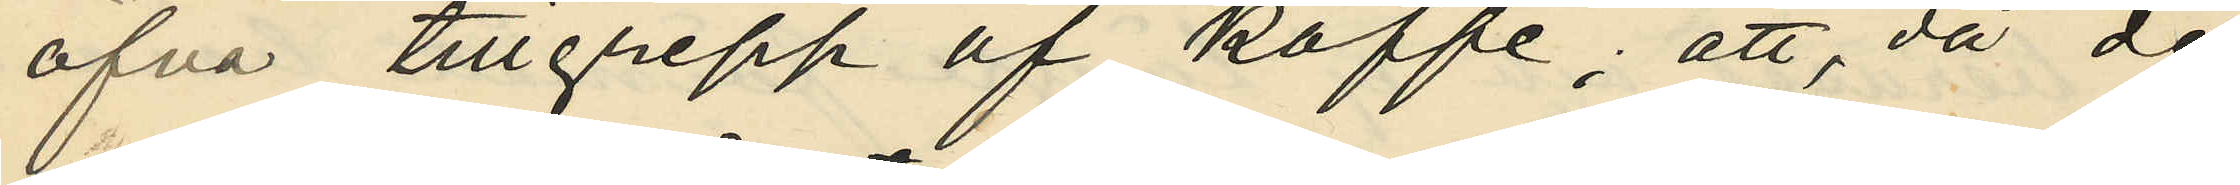öfva tillgrepp af kaffe; att, då de
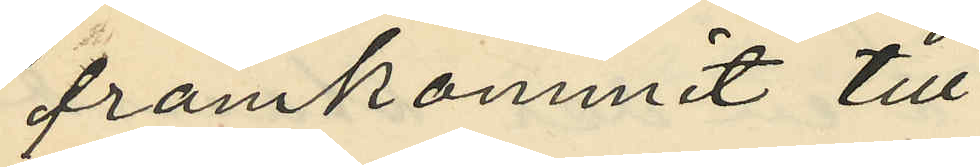framkommit till
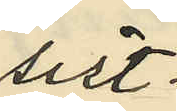sist¬
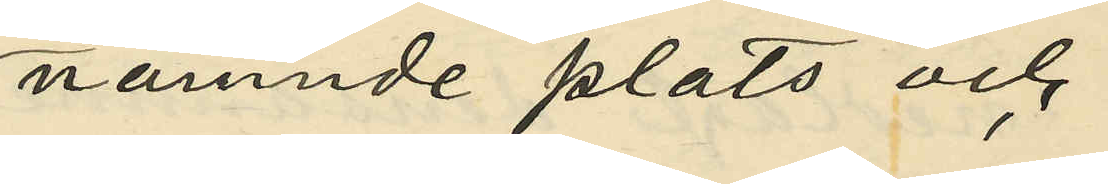nämnde plats och
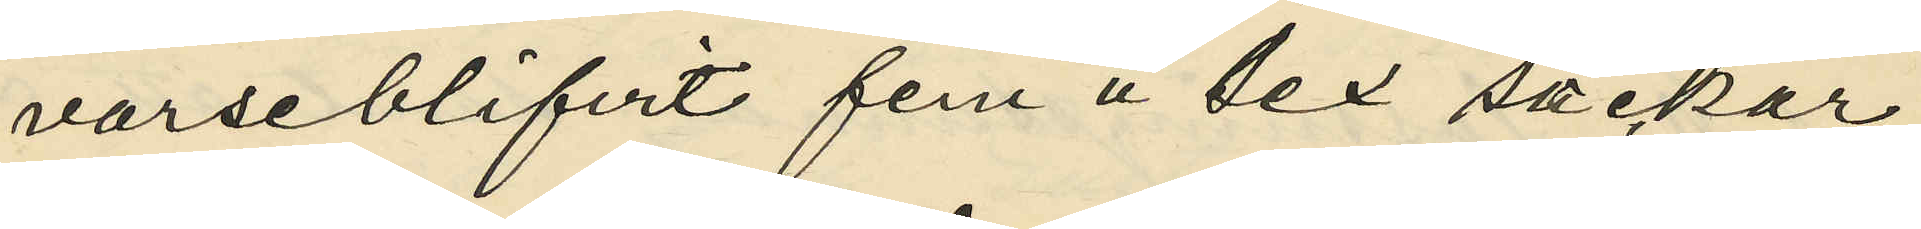varseblifvit fem à sex säckar
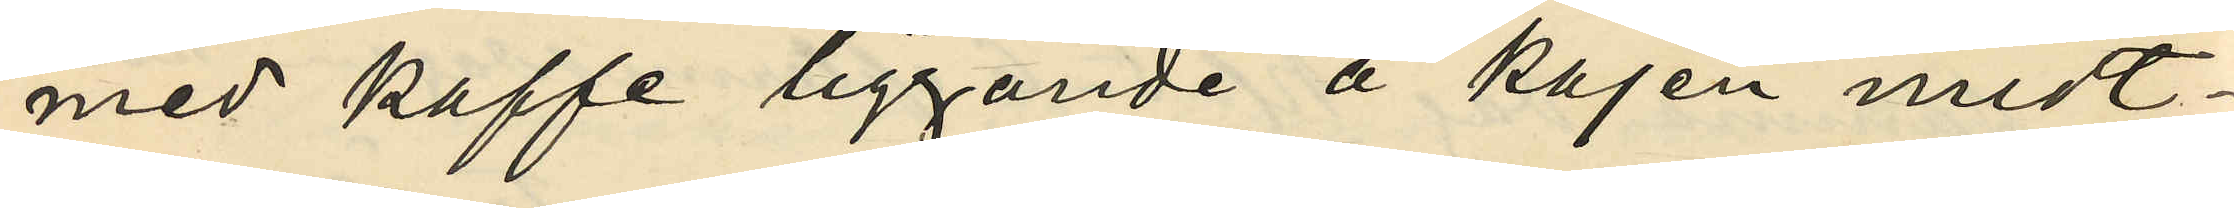med kaffe liggande å kajen midt¬
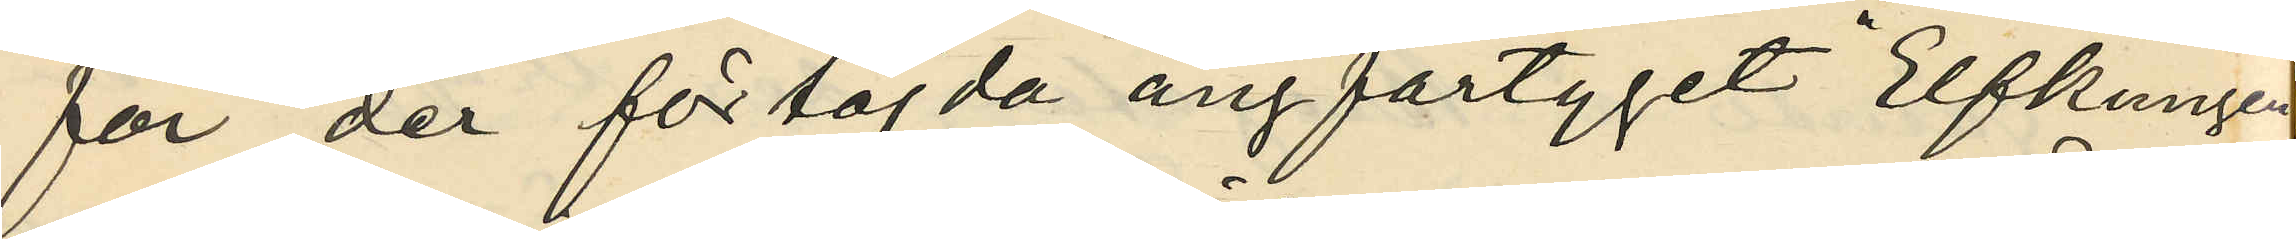för der förtöjda ångfartyget "Elfkungen
